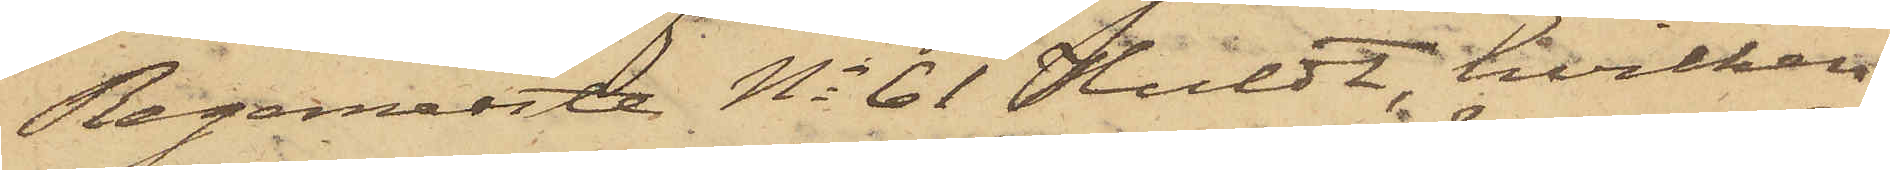Regemente No 61 Huldt, hvilken
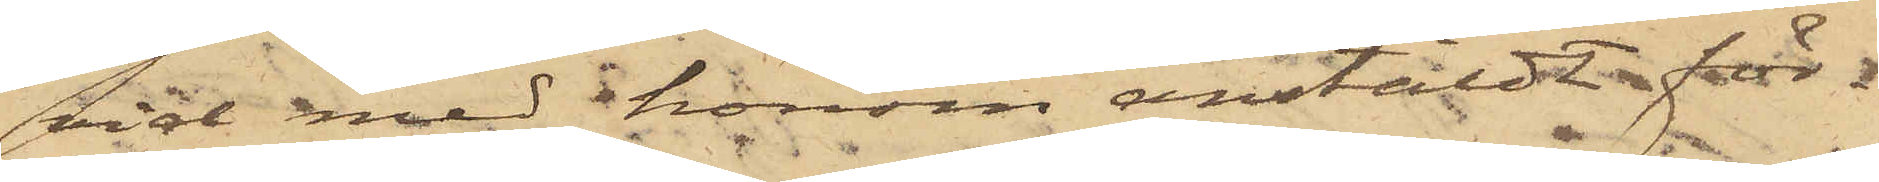vid med ihonom anstäldt för¬
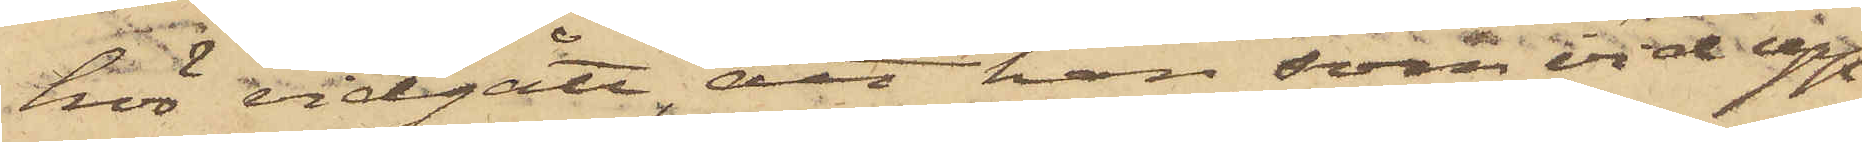hör vidgått, att han, som vid upp¬
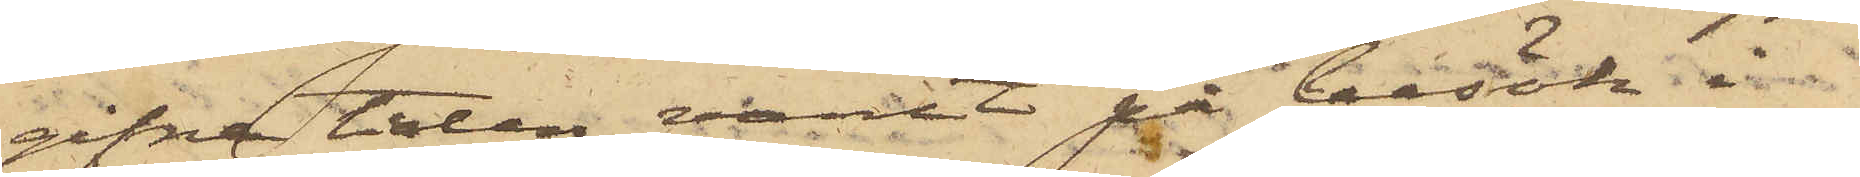gifne tiden varit på besök i
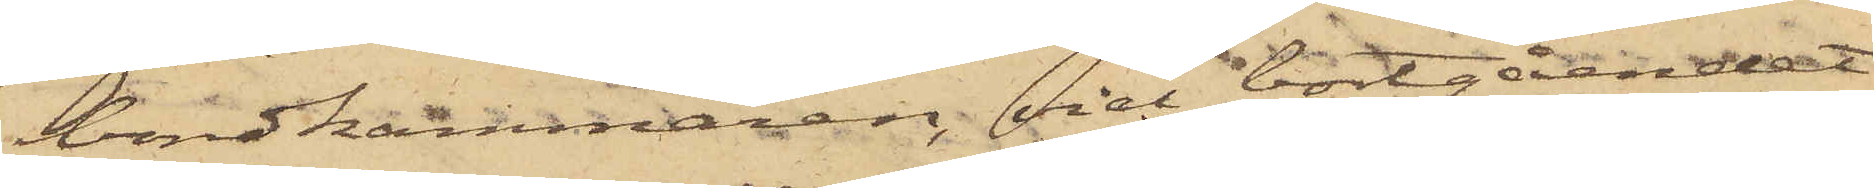bondkammaren, vid bortgåendet
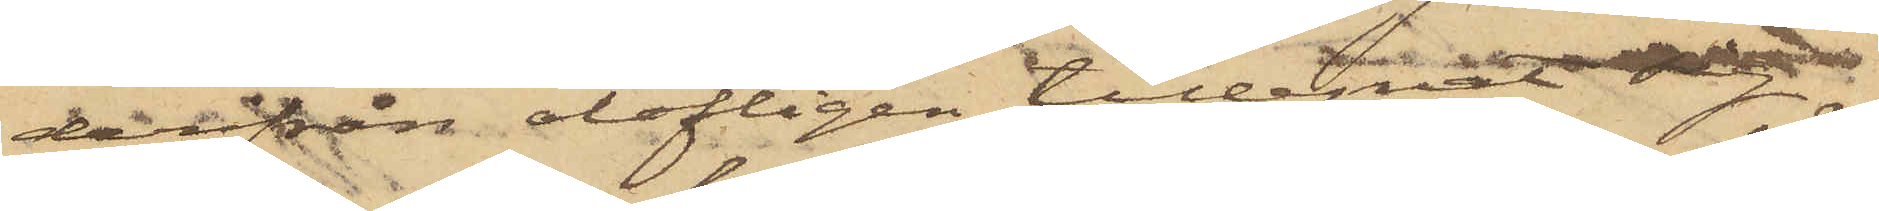derifrån olofligen tillegnat sig
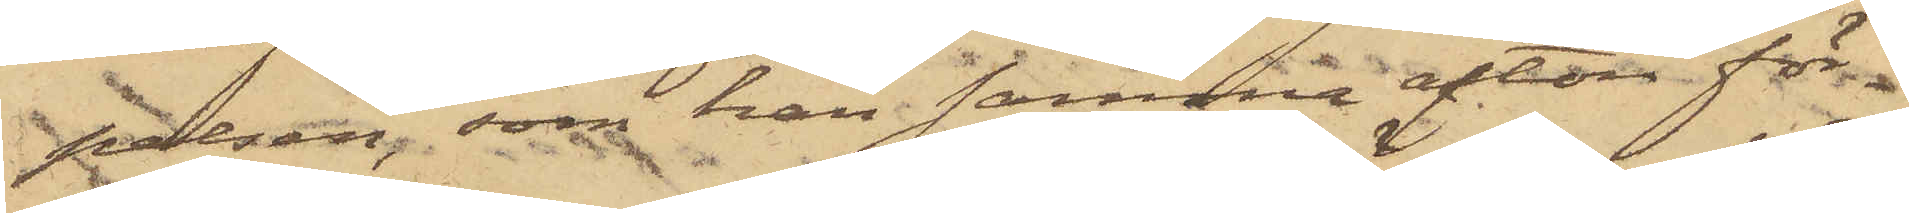pelsen, som han samma afton för¬
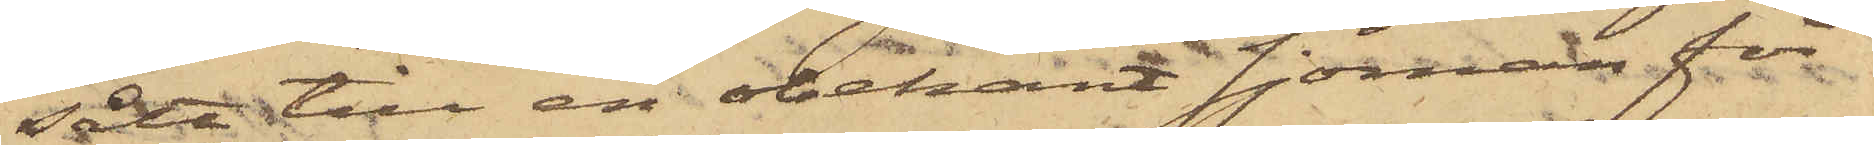sålt till en obekant sjöman för
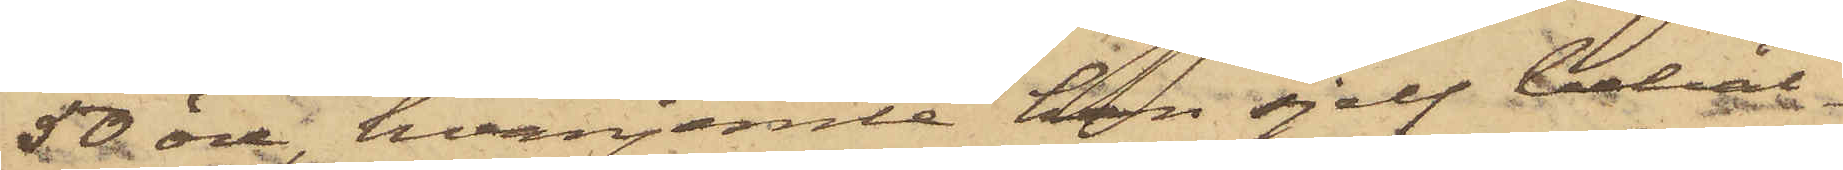50 öre, hvarjemte han sjelf behål¬
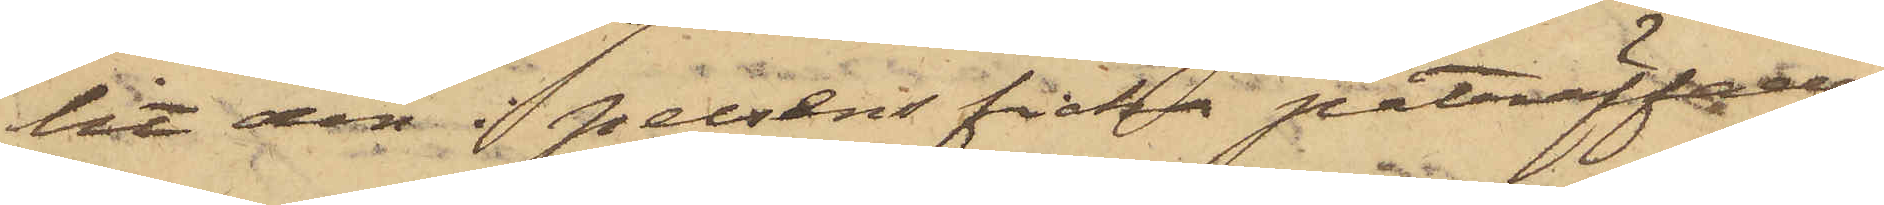lit den i pelsens ficka påträffade
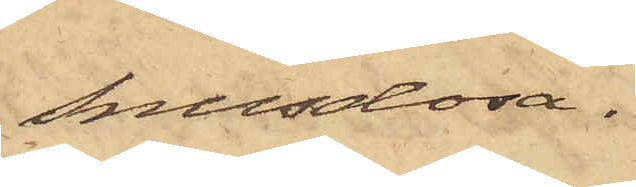snusdosa.
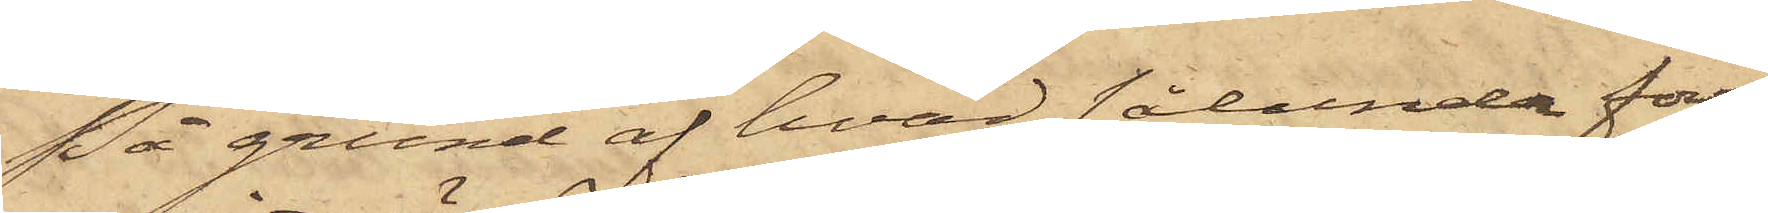På grund af hvad sålunda före¬
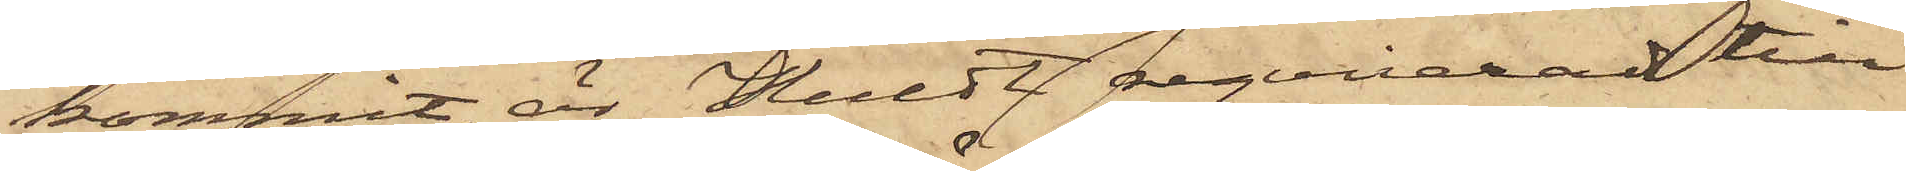kommit, är Huldt reqvirerad till
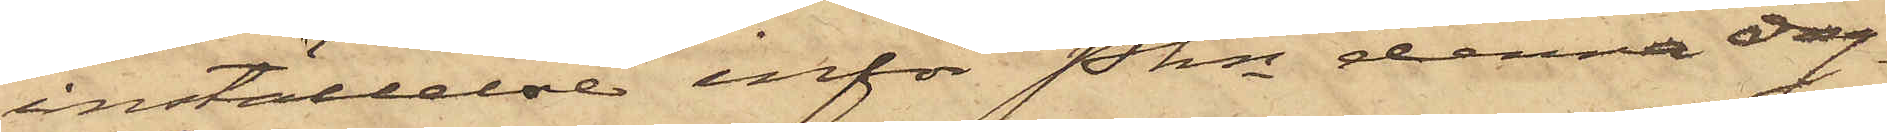inställelse inför Pkn denna dag.
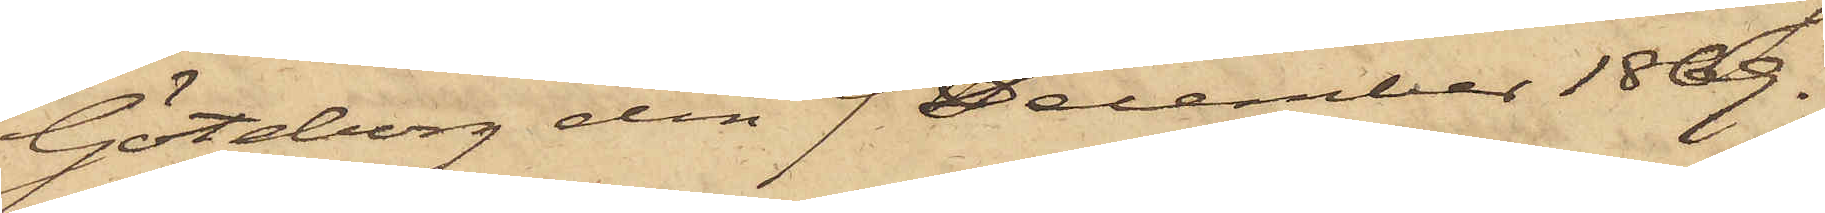Göteborg den 9 December 1869.
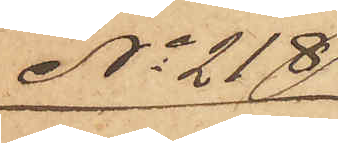No 218
